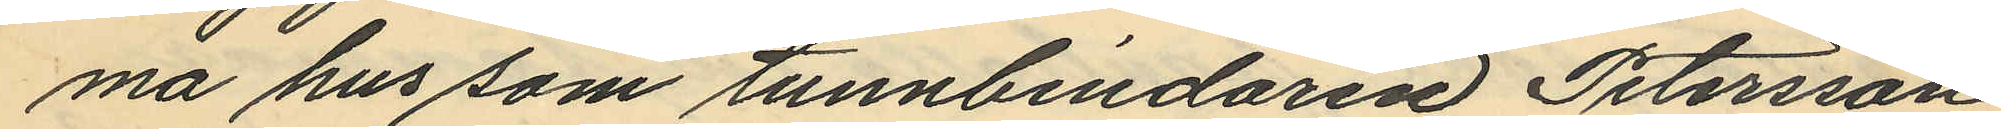ma hus som tunnbindaren Petersson
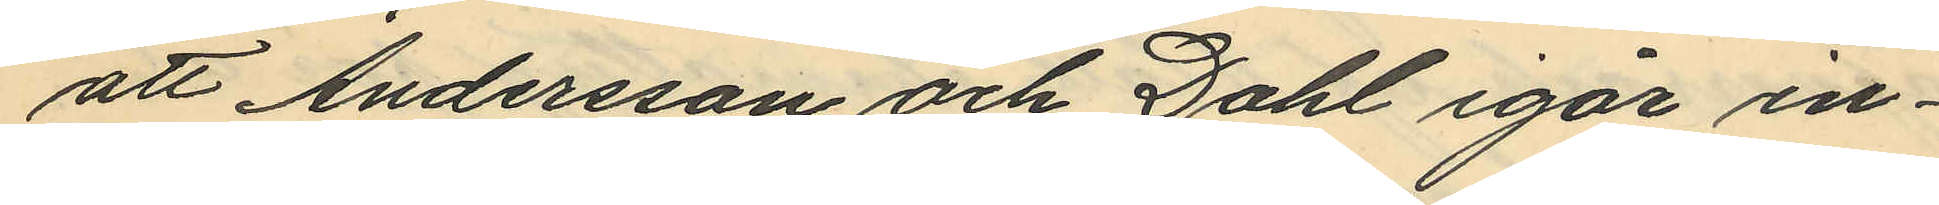att Andersson och Dahl igår in¬
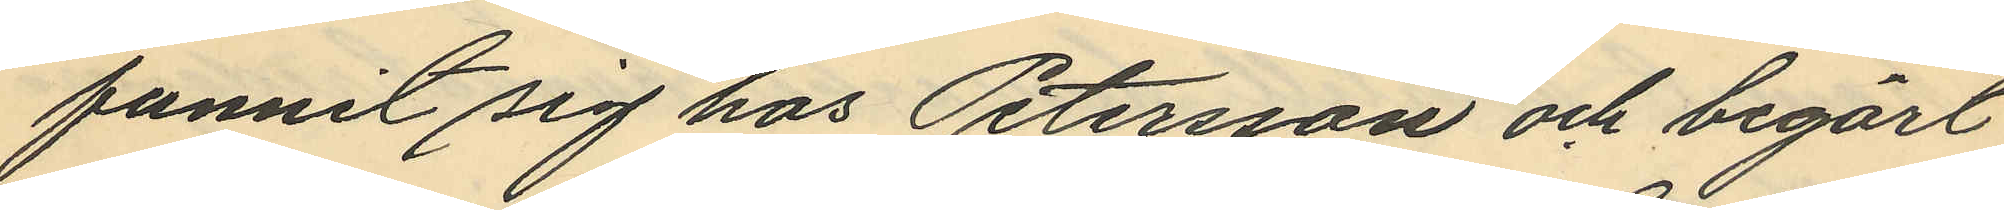funnit sig hos Petersson och begärt
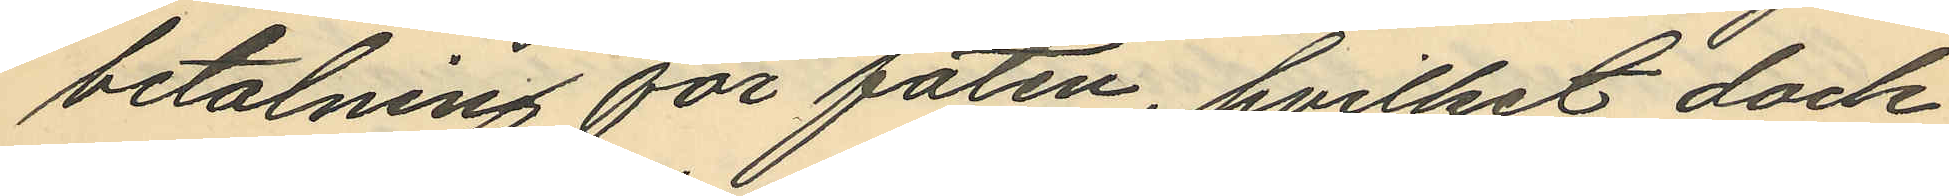betalning för faten, hvilket dock
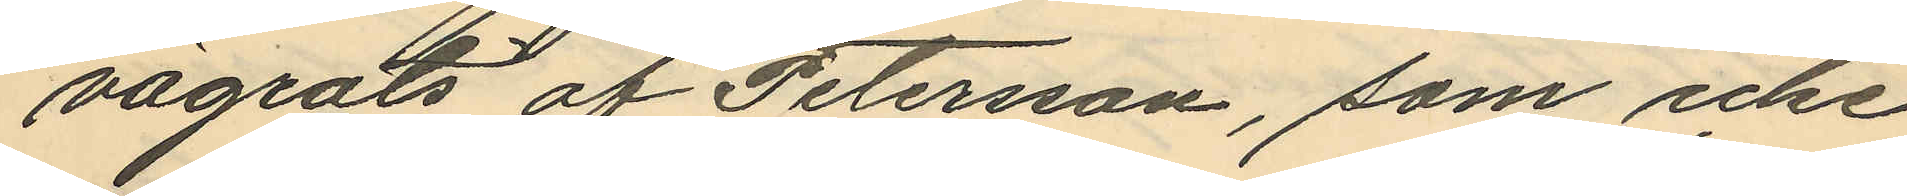vägrats af Petersson, som icke
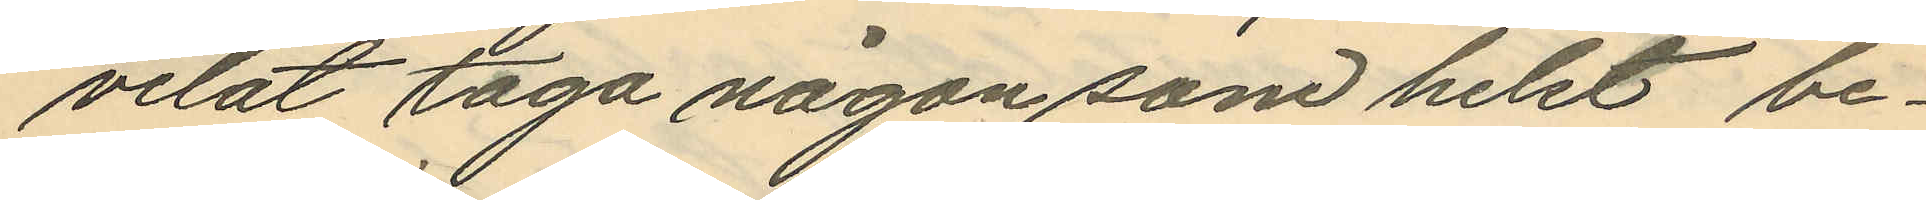velat taga någon som helst be¬
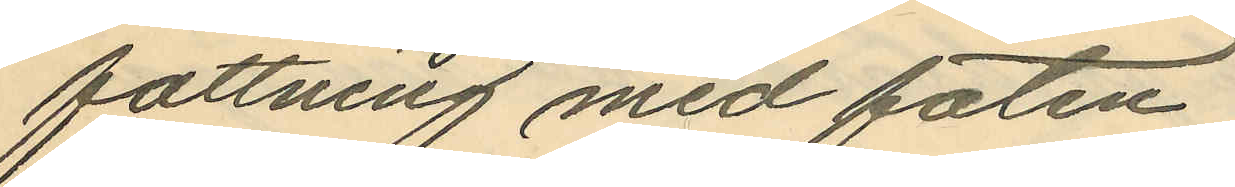fattning med faten.
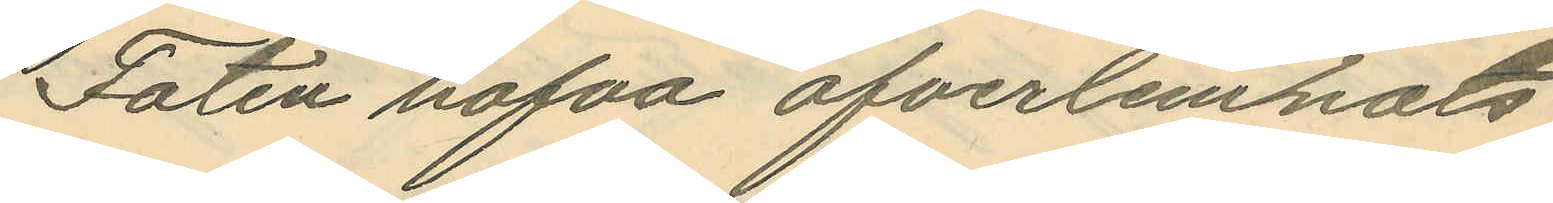Faten hafva öfverlemnats
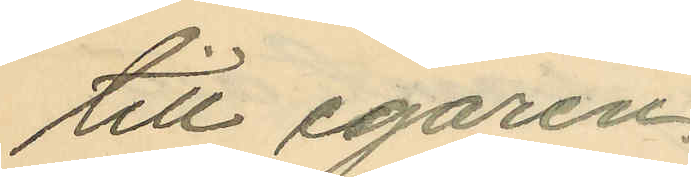till egaren.
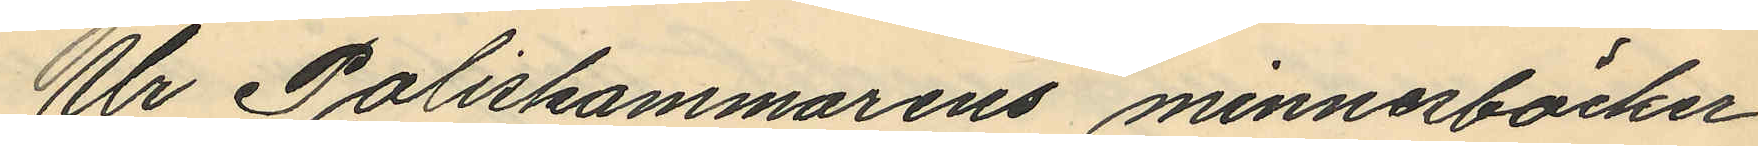Ur Poliskammarens minnesböcker
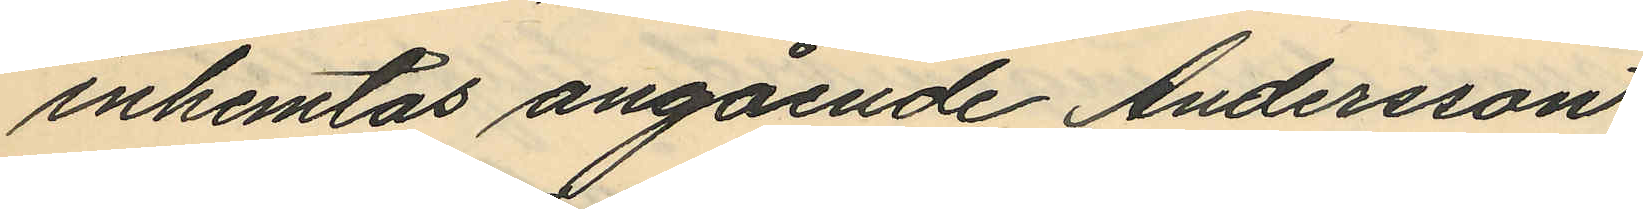inhemtas angående Andersson
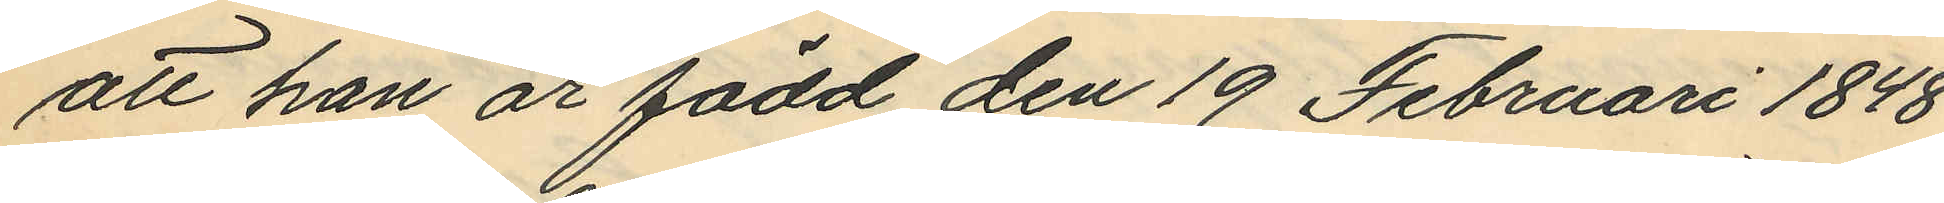att han är född den 19 Februari 1848
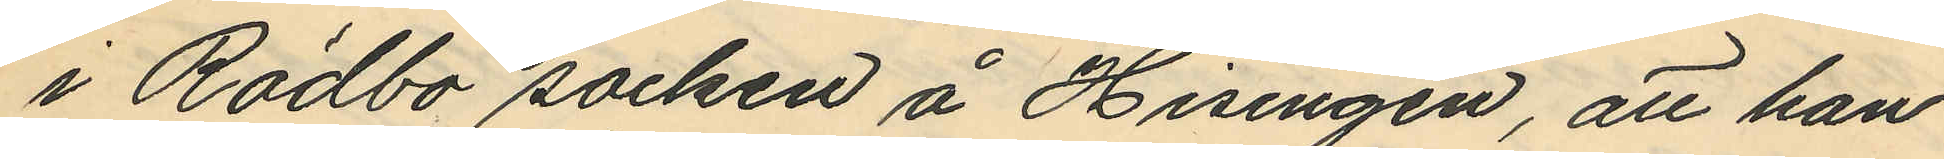i Rödbo socken å Hisingen, att han
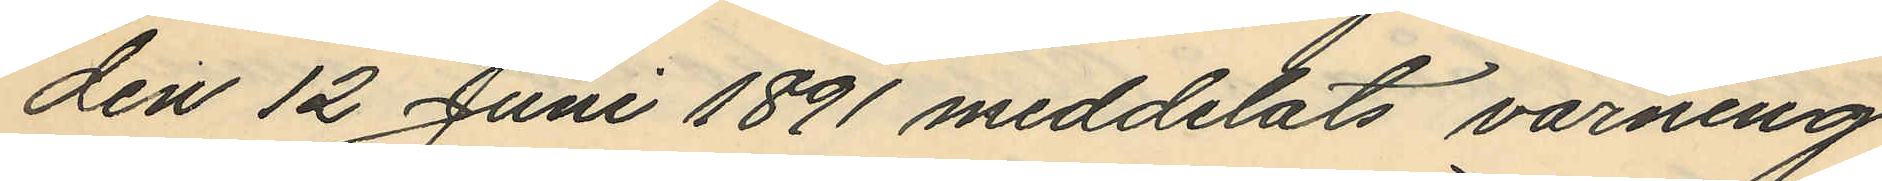den 12 Juni 1891 meddelats varning
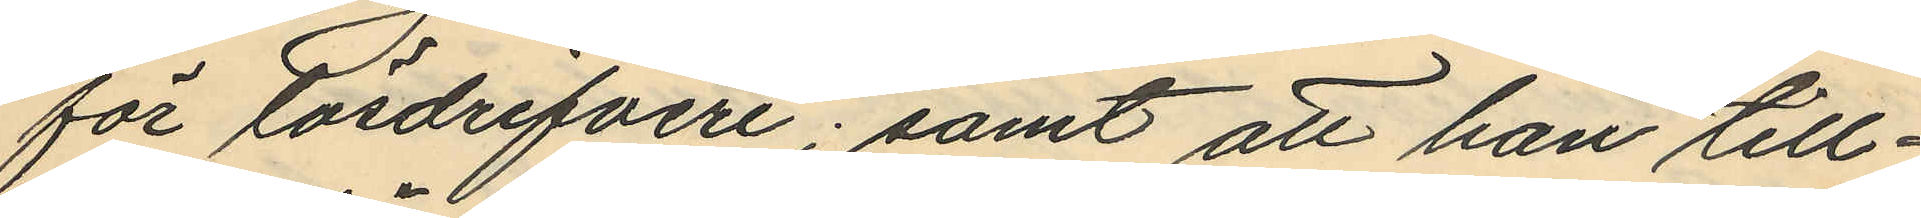för lösdrifveri; samt att han till¬
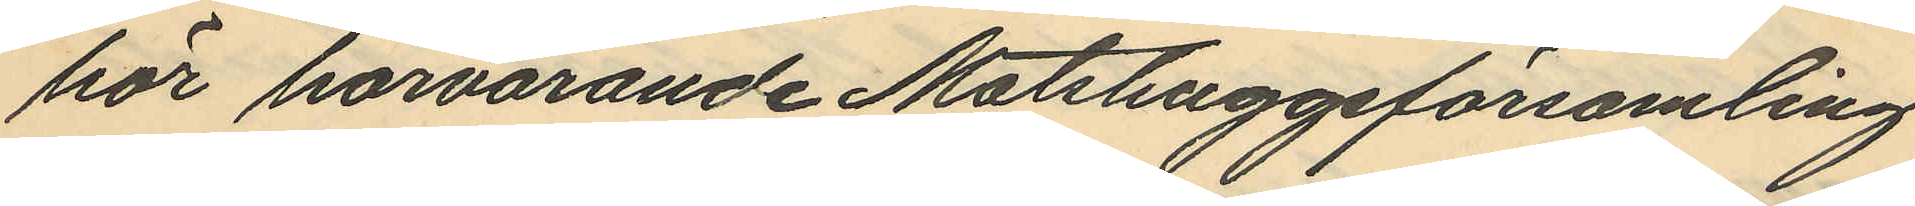hör härvarande Matshuggsförsamling.
